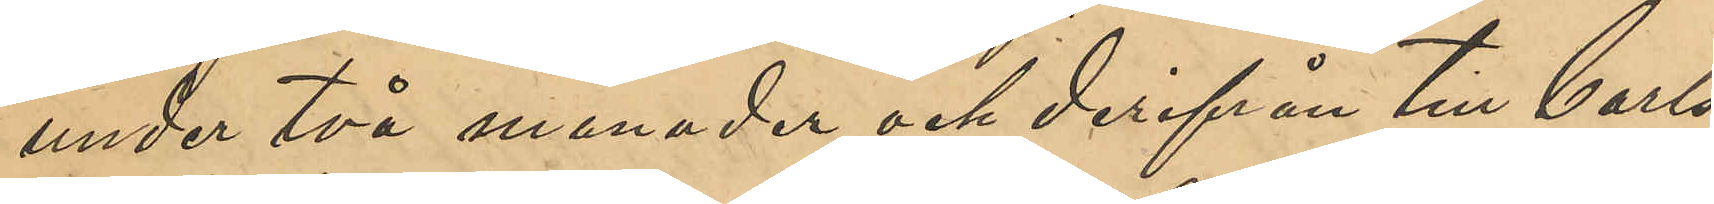under två månader och derifrån till Carls¬
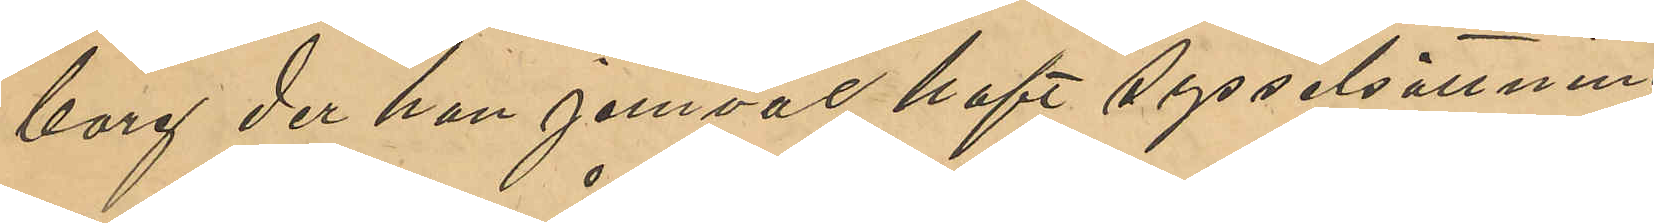borg der han jemväl haft sysselsättning
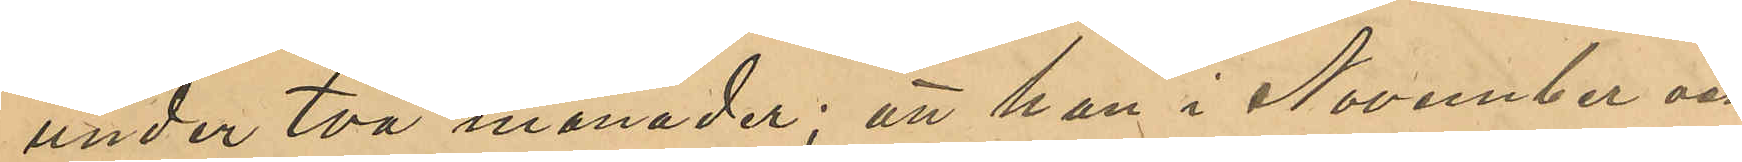under två månader; att han i November och
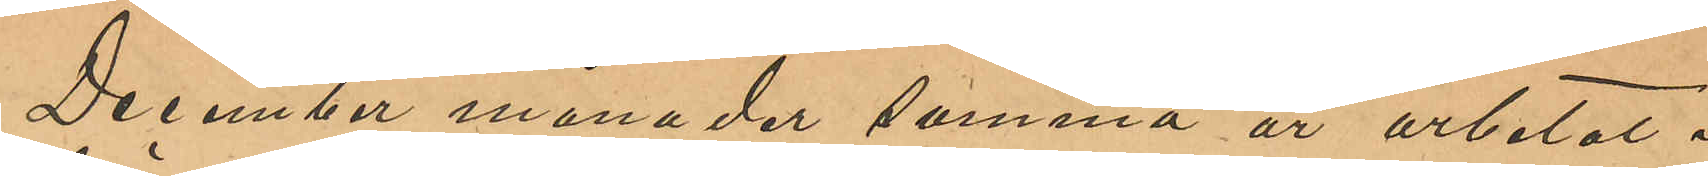December månader samma år arbetat i
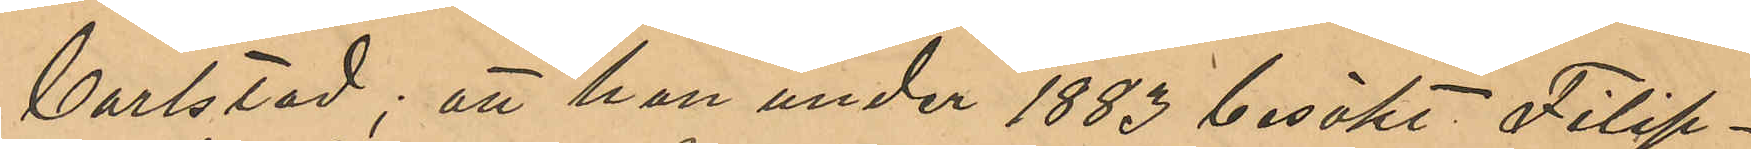Carlstad; att han under 1883 besökt Filip¬
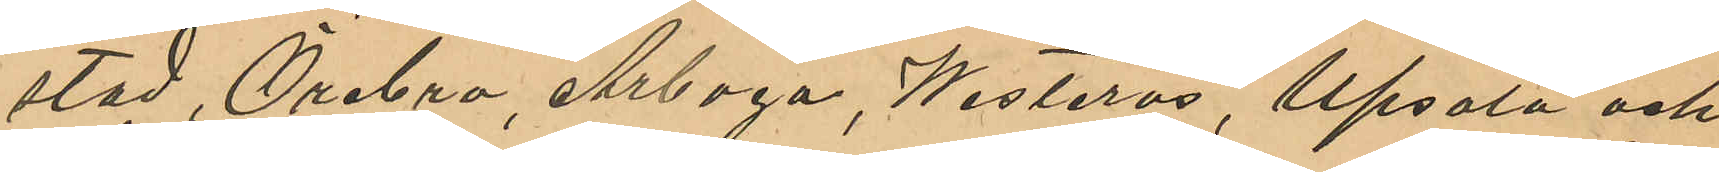stad, Örebro, Arboga, Westerås, Upsala och
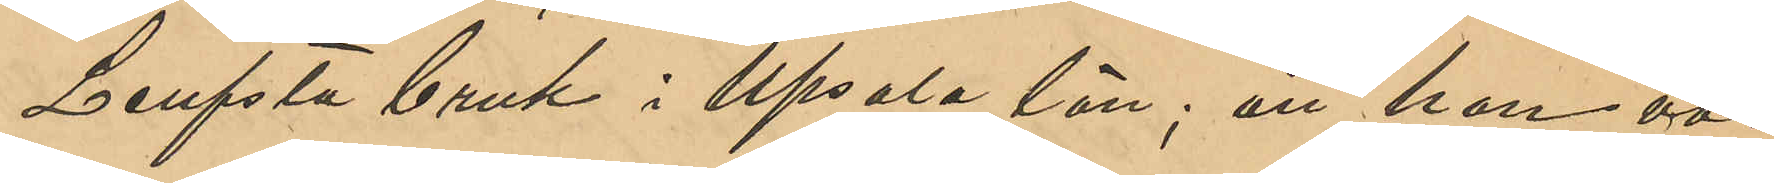Leufsta bruk i Upsala län; att han vå¬
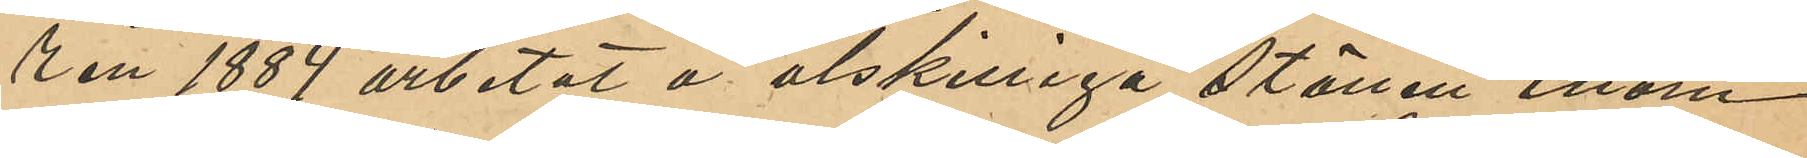ren 1884 arbetat i åtskilliga städer inom
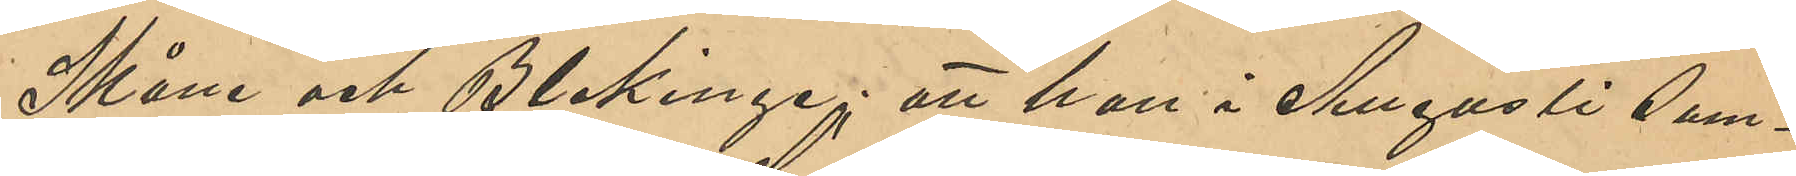Skåne och Blekinge; att han i Augusti sam¬
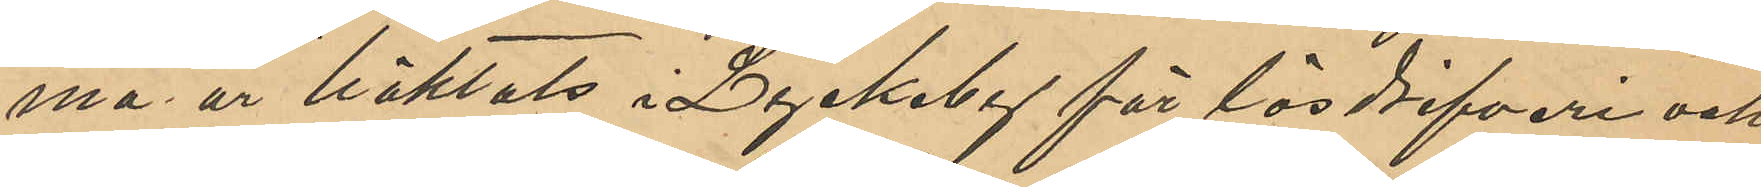ma år häktats i Lyckeby för lösdrifveri och
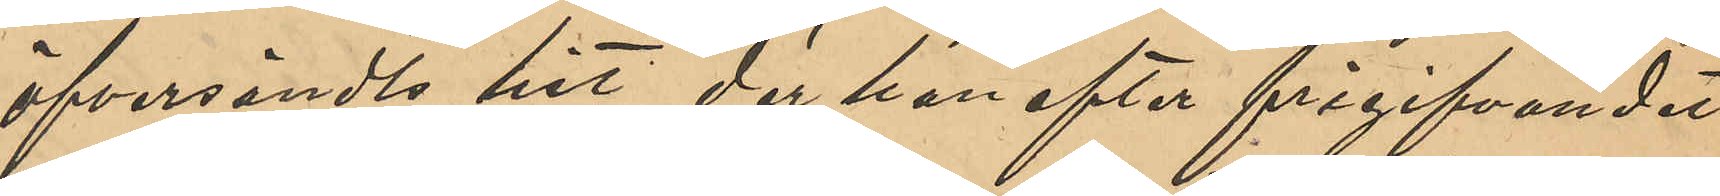öfversändts hit, der han efter frigifvandet
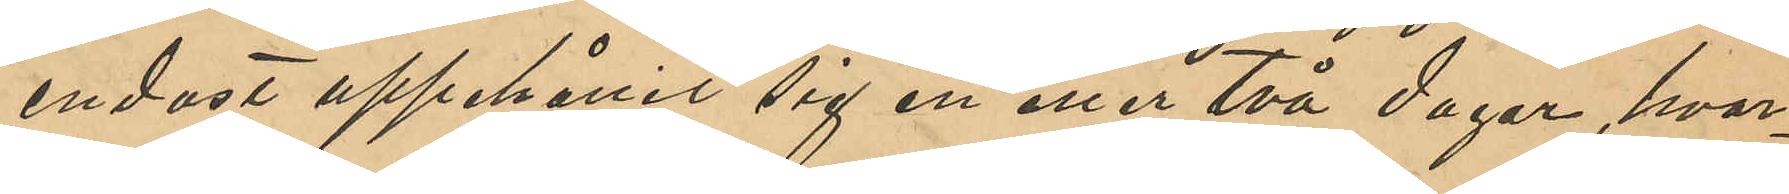endast uppehållit sig en eller två dagar, hvar¬
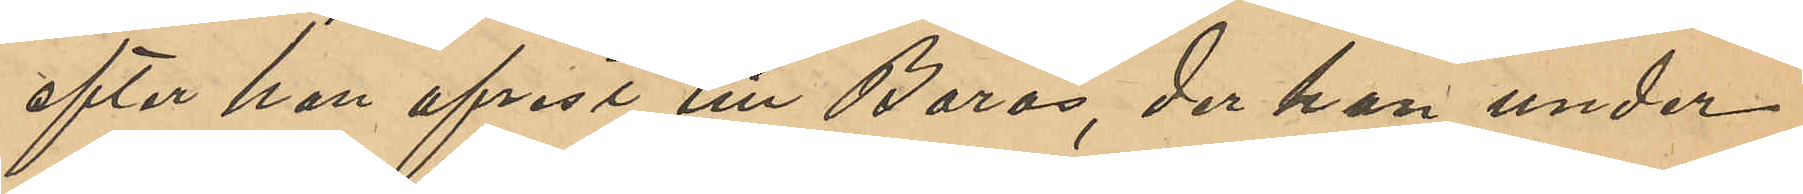efter han afrest till Borås, der han under
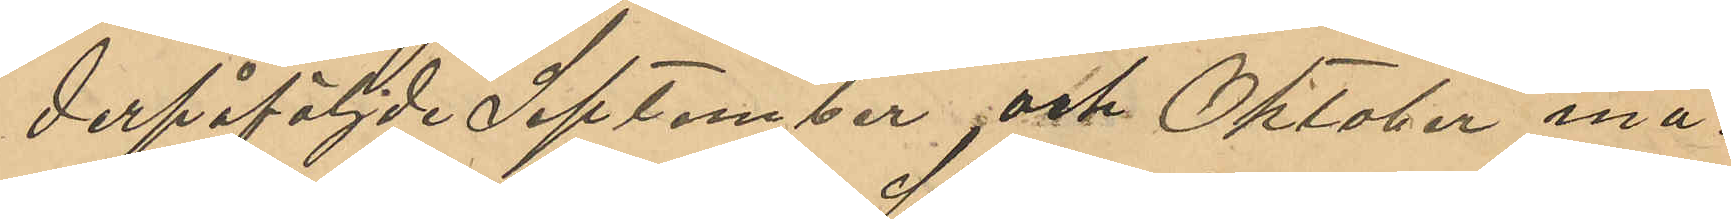derpåföljde September och Oktober må¬
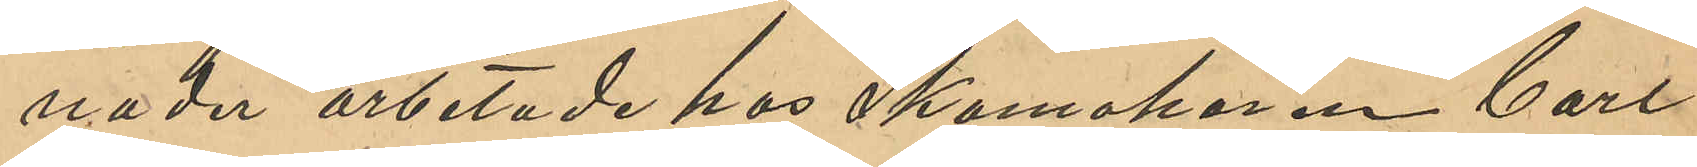nader arbetade hos Skomakaren Carl
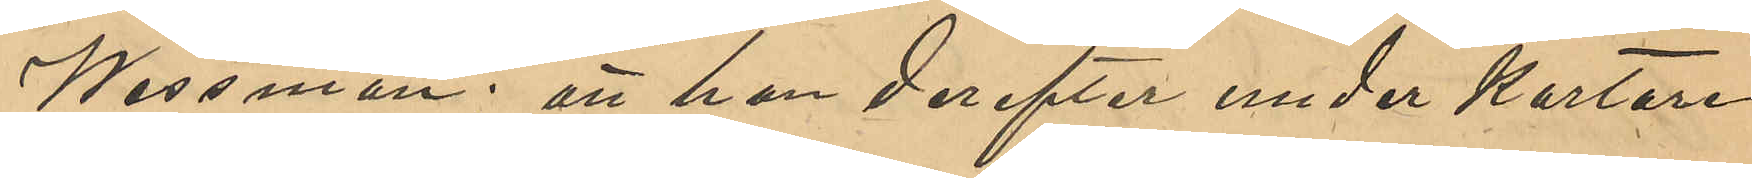Wessman; att han derefter under kortare 
